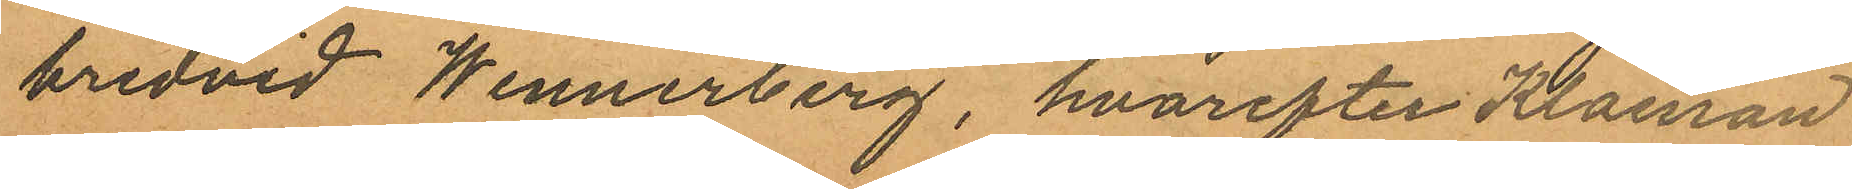bredvid Wennerberg, hvarefter Klaesson
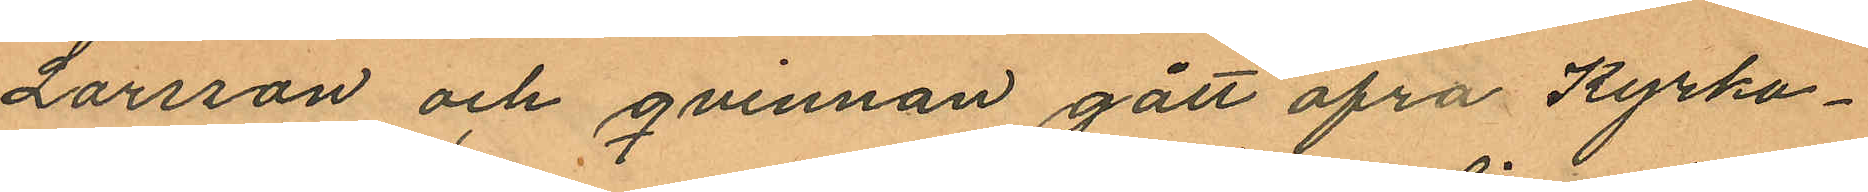Larsson och qvinnan gått öfra Kyrko¬
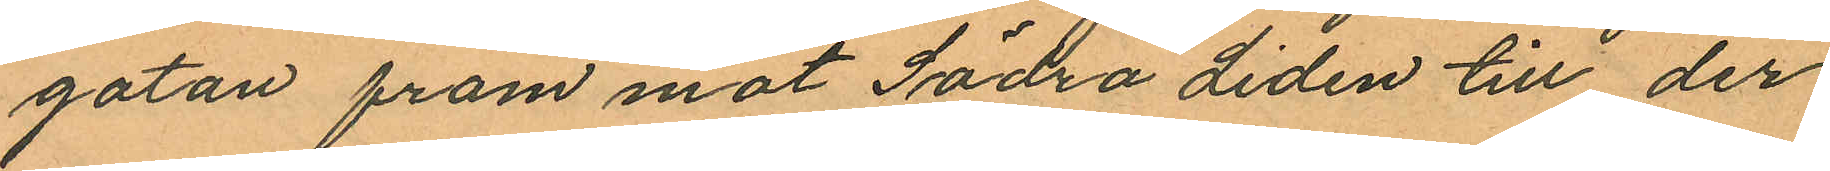gatan fram mot Södra Liden till der
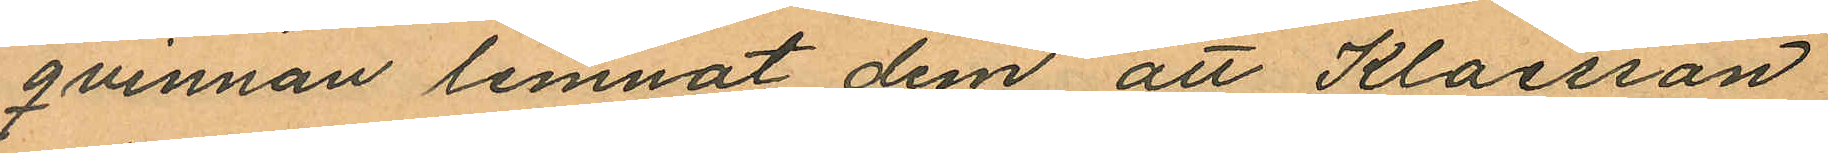qvinnan lemnat dem, att Klaesson
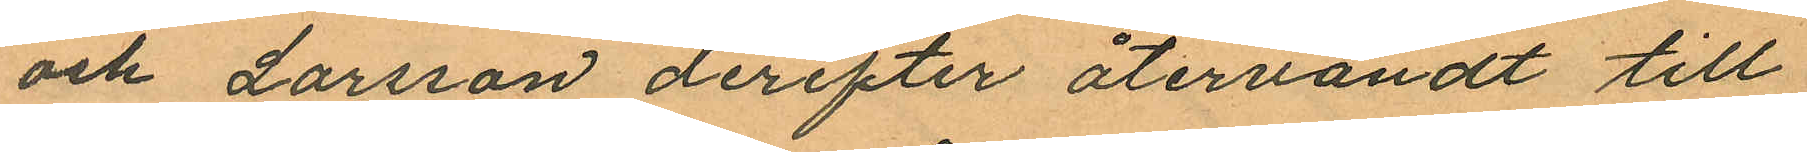och Larsson derefter återvändt till
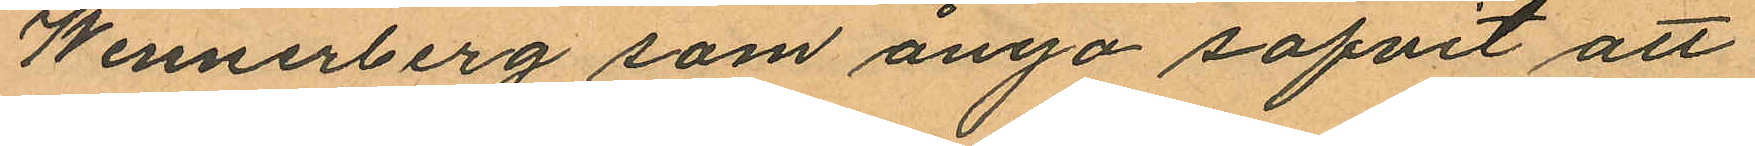Wennerberg som ånyo sofvit att
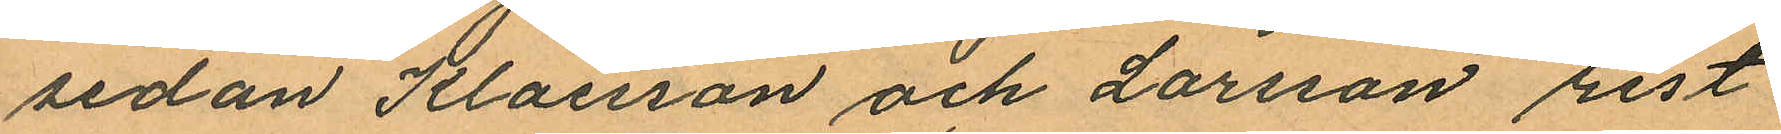sedan Klaesson och Larsson rest
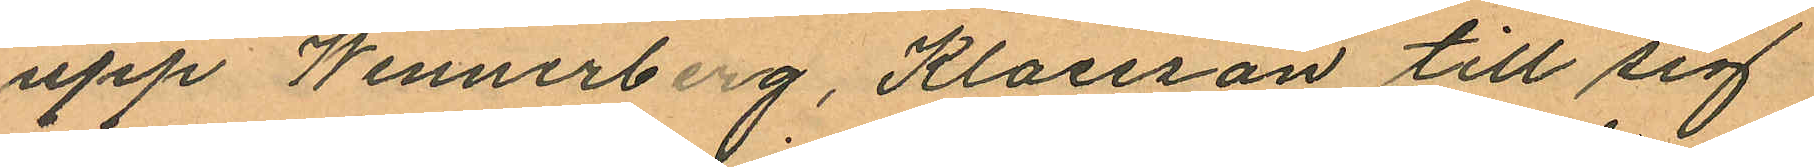upp Wennerberg, Klaesson till sig
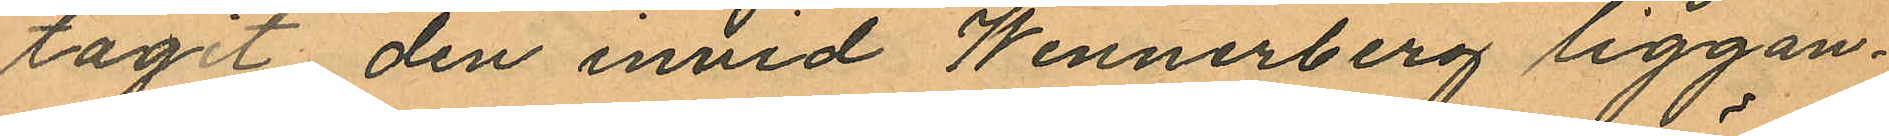tagit den invid Wennerberg liggan¬
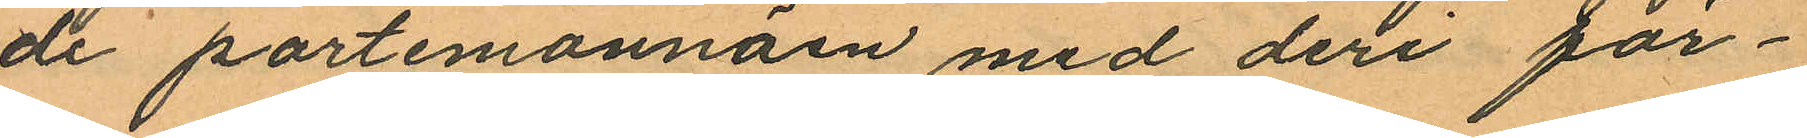de portemonnäen med deri för¬
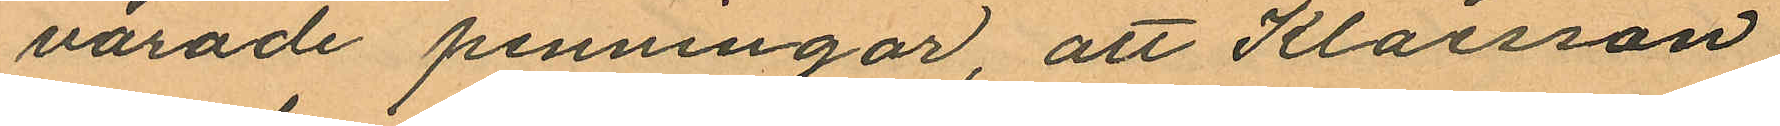varade penningar, att Klaesson
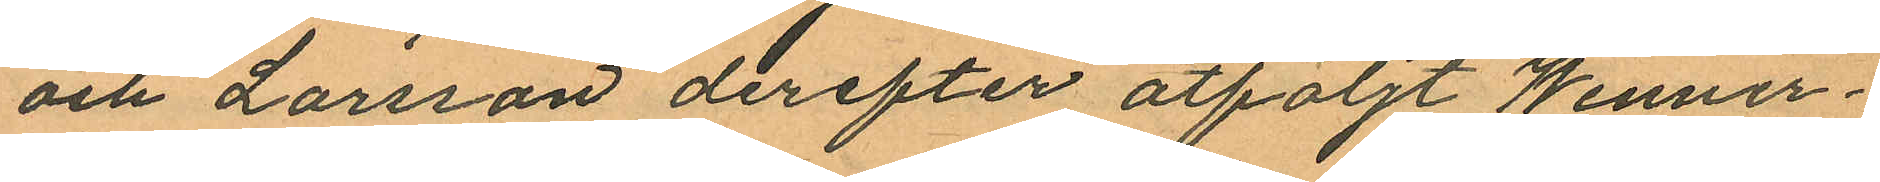och Larsson derefter åtföljt Wenner¬
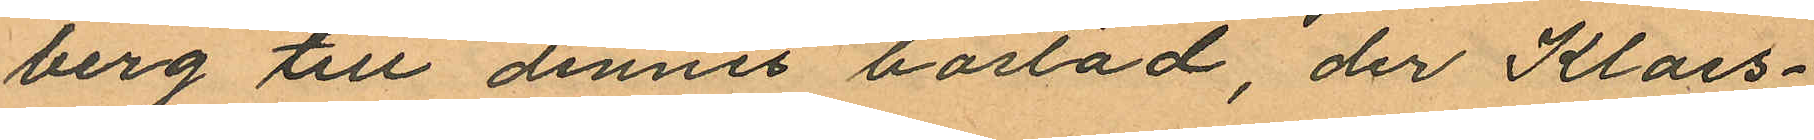berg till dennes bostad, der Klaes¬
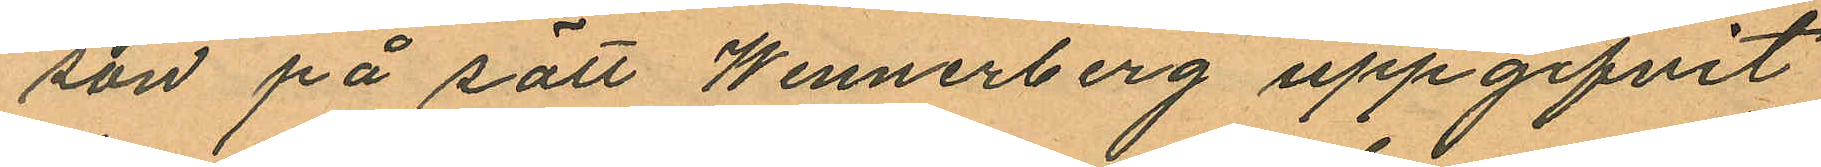son på sätt Wennerberg uppgifvit
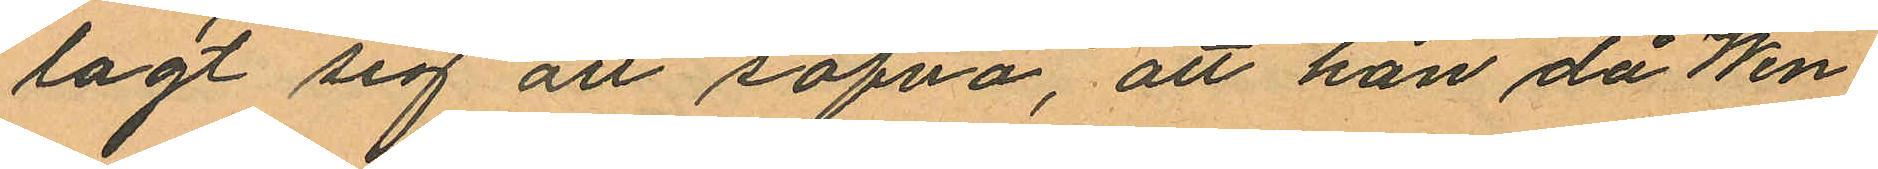lagt sig att sofva, att han då Wen¬
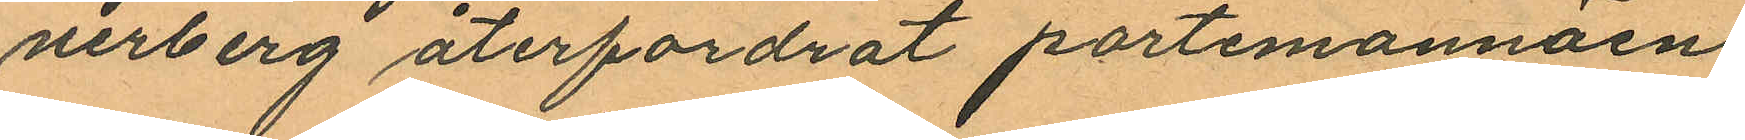nerberg återfordrat portemonnäen
